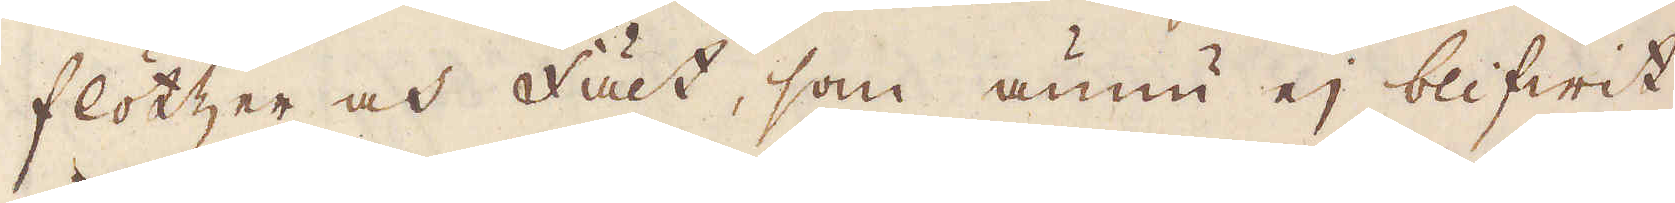flötzer och fält, som ännu ej blifwit
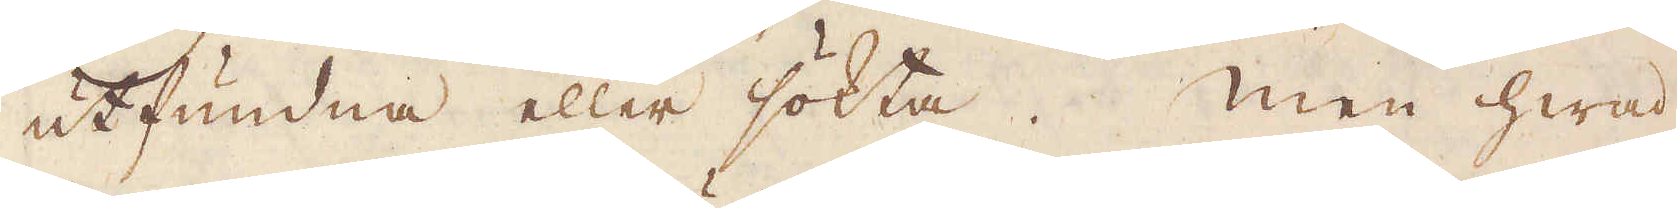utfundna eller sökta. Men hwad
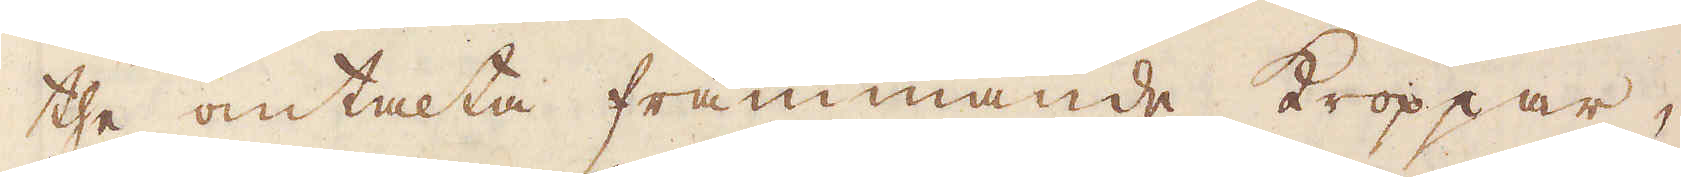the omtalta främmande Kroppar,
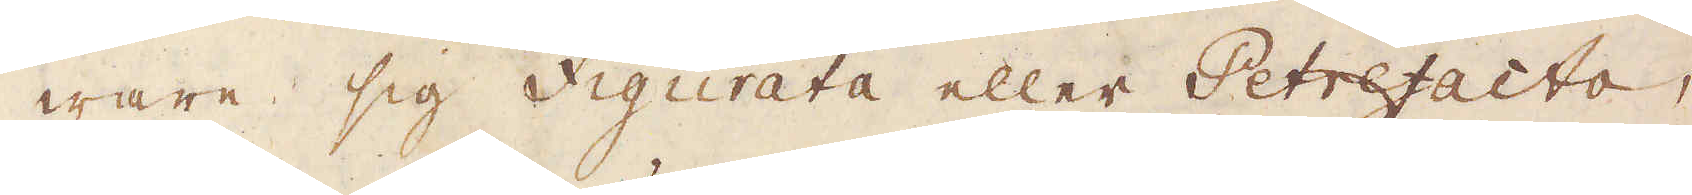ware sig Figurata eller Petrefacta,
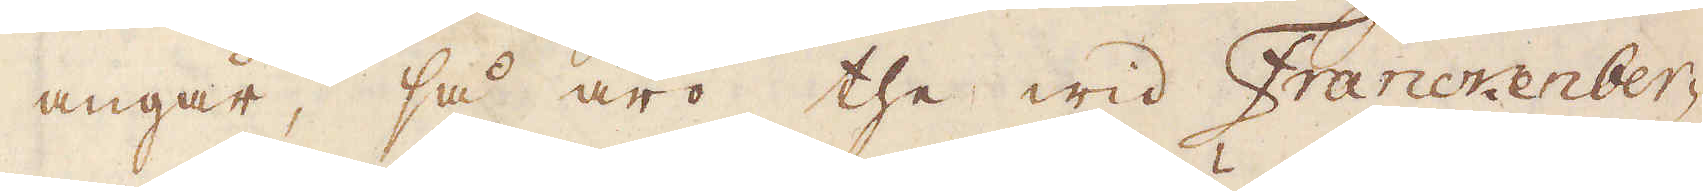angår, så äro the wid Franckenber-
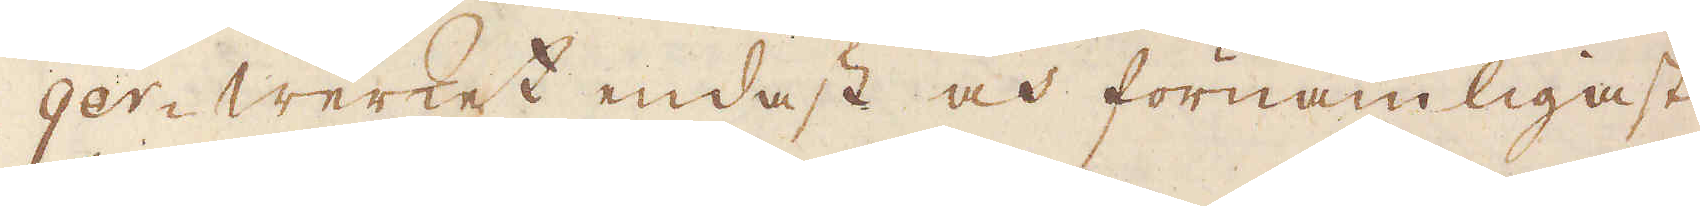ger-werket endast och förnämligast
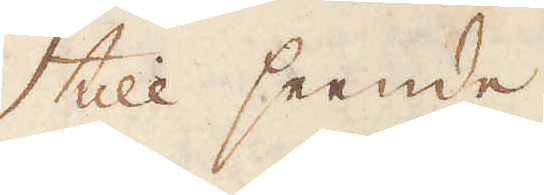till seende
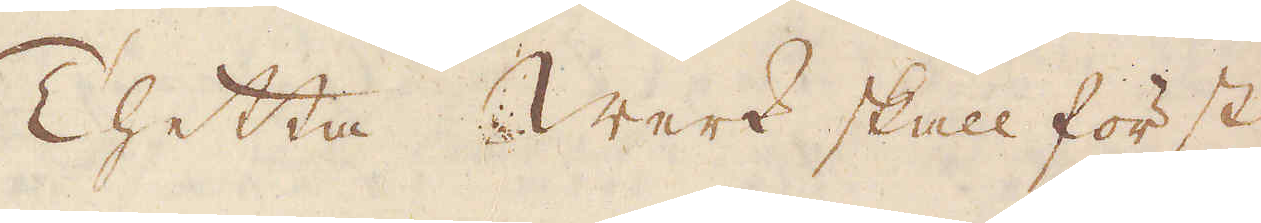Thetta Werk skall först
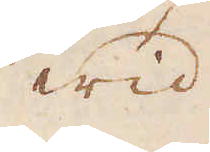wid
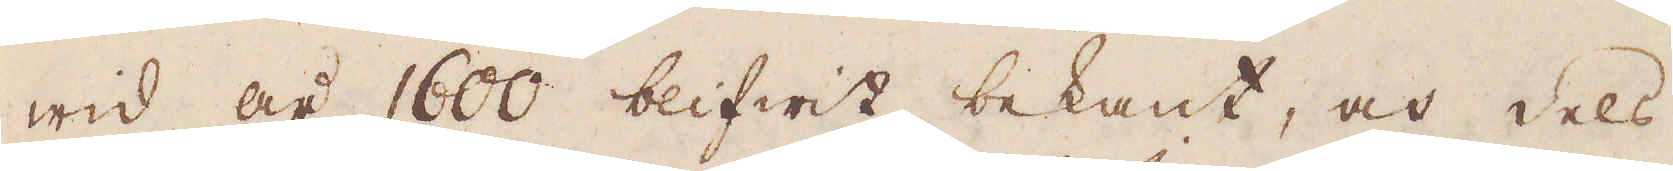wid år 1600 blifwit bekant, och dels
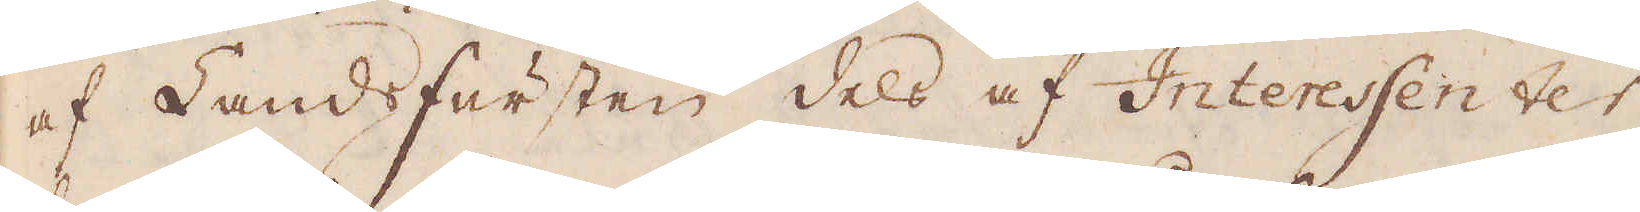af Land Fursten dels af Interessenter
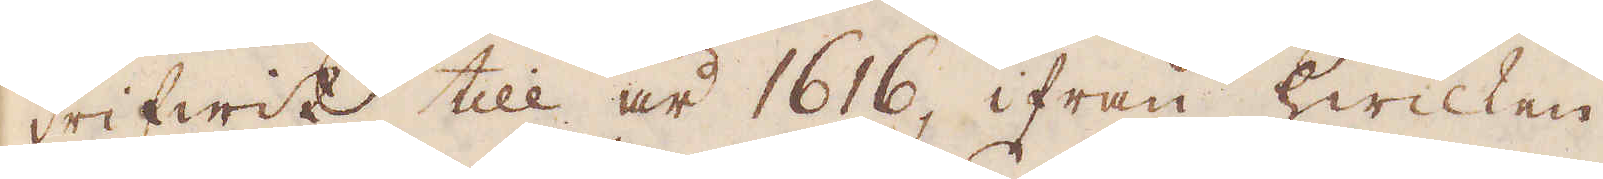drifwit till år 1616, ifrån hwilken
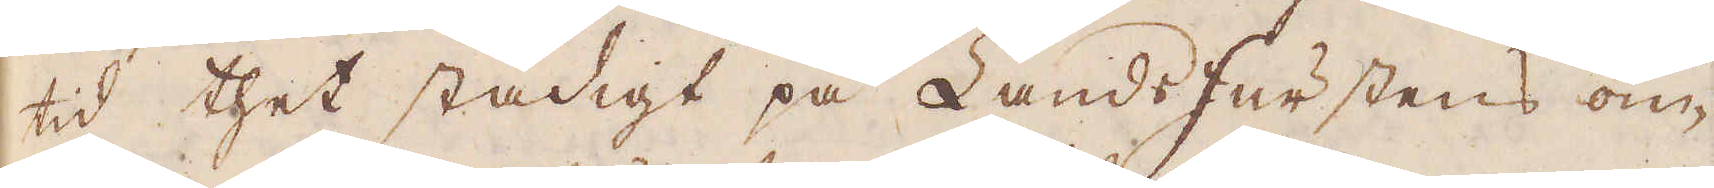tid thet stadigt på Lands Furstens om-
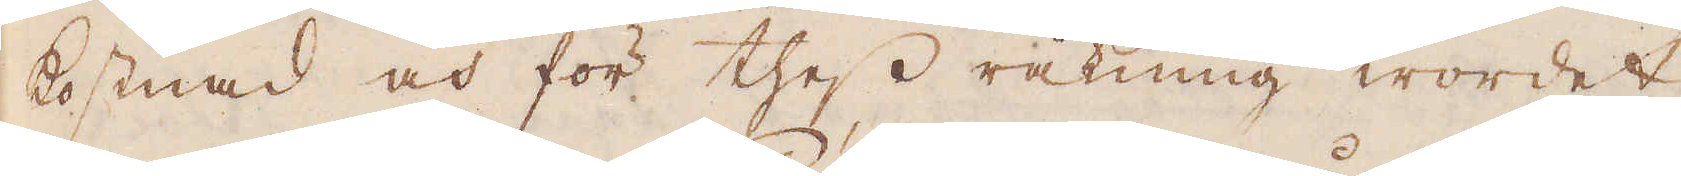kostnad och för thess räkning wordet
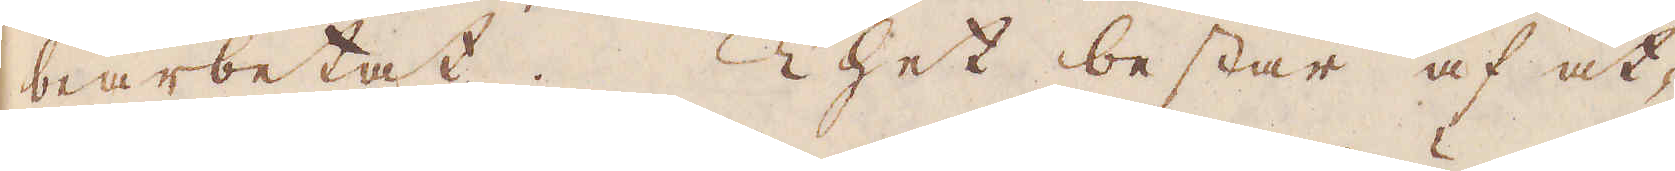bearbetat. Thet består af åt-
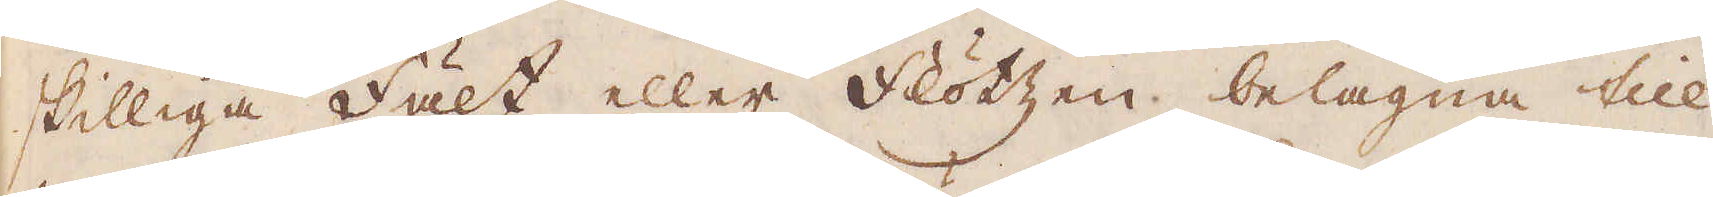skilliga Fält eller Flötzen belägna till
